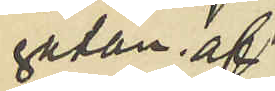gatan af
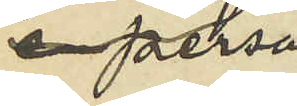person
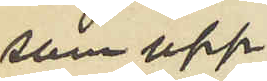som upp¬
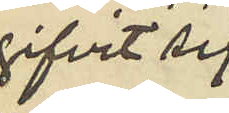gifvit sig
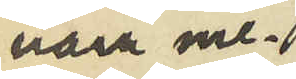vara me¬
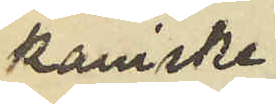kaniske
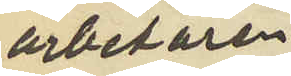arbetaren
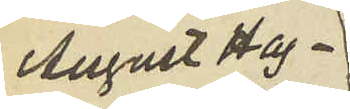August Hag¬
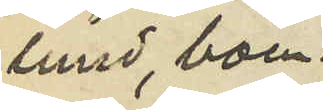lund, boen¬
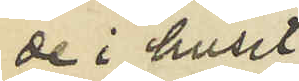de i huset
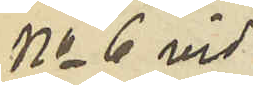No 6 vid
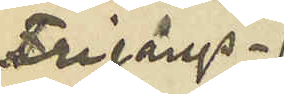Frigångs¬
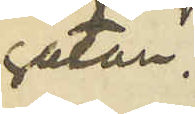gatan;
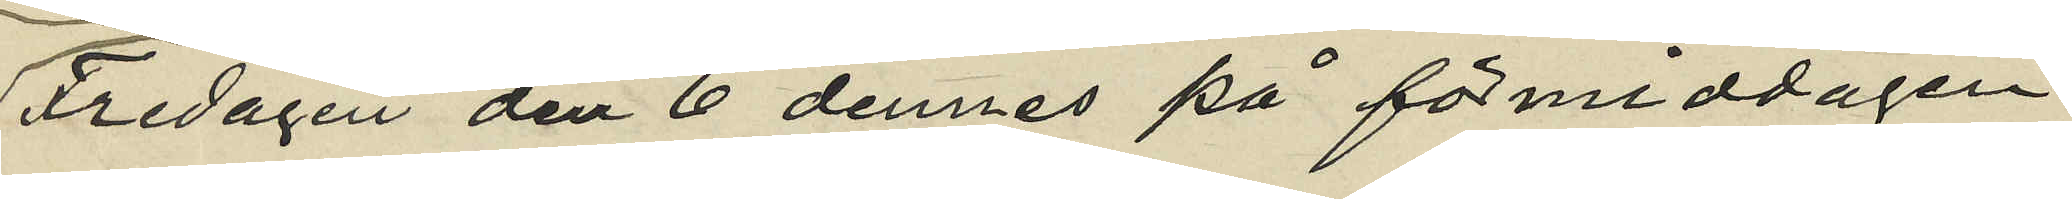Fredagen den 6 dennes på förmiddagen
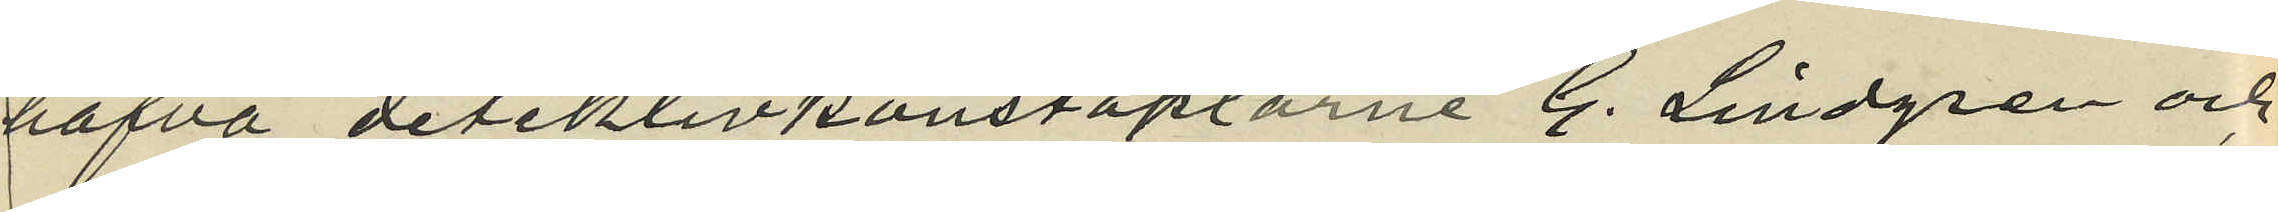hafva detektivkonstaplarne G. Lindgren och
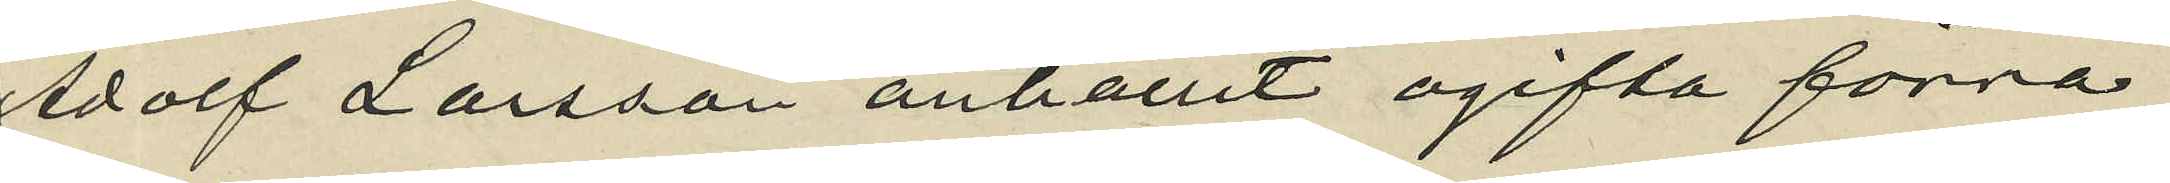Adolf Larsson anhållit ogifta förra
